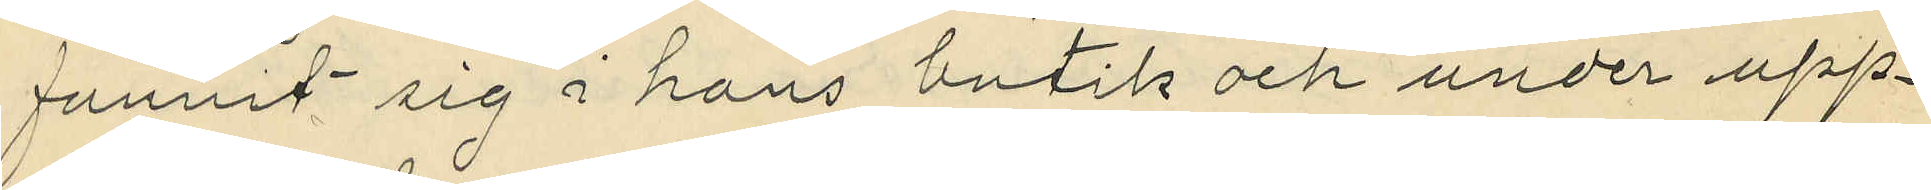funnit sig i hans butik och under upp¬
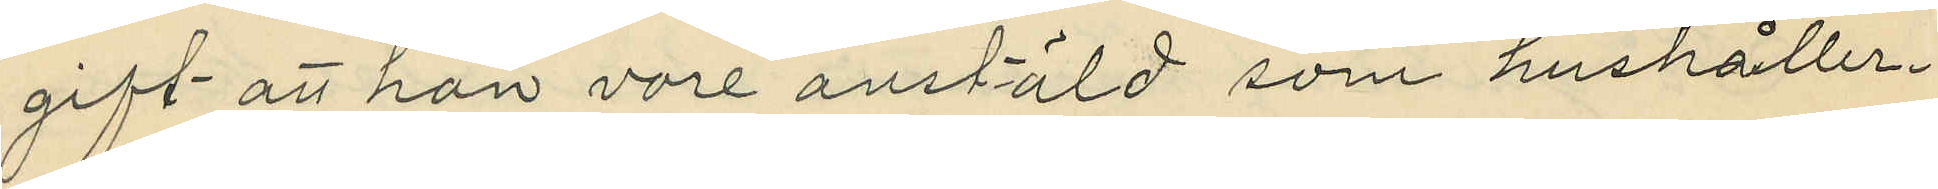gift att hon vore anstäld som hushåller¬
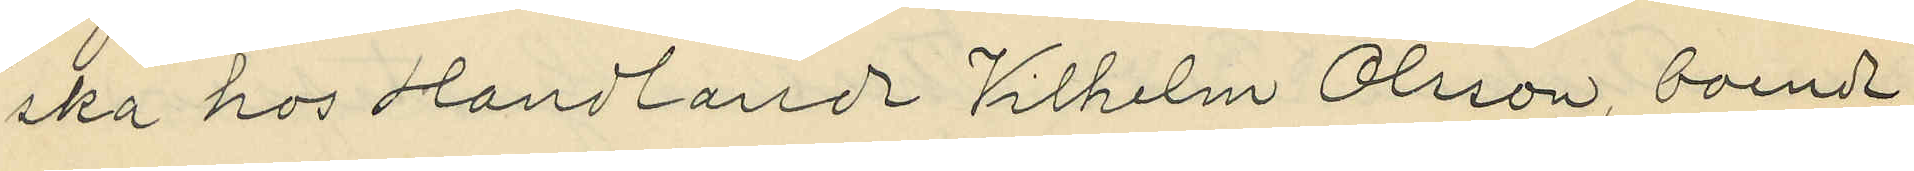ska hos Handlande Vilhelm Olsson, boende
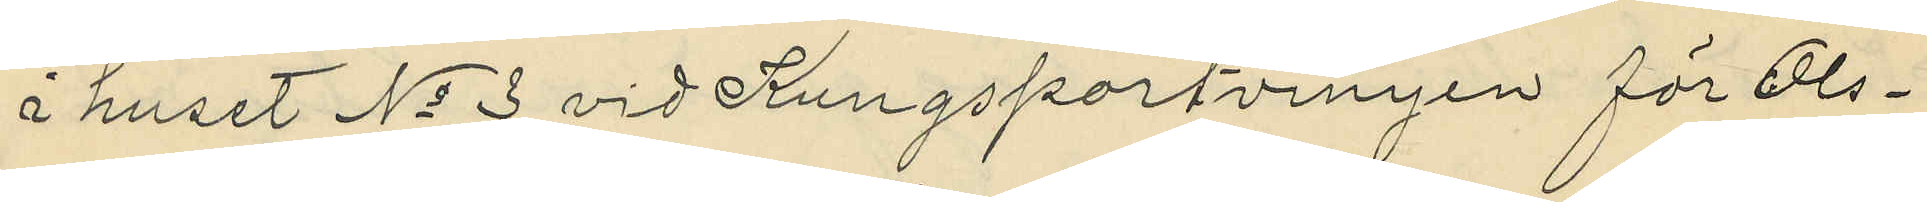i huset No 3 vid Kungsportvenyen för Ols¬
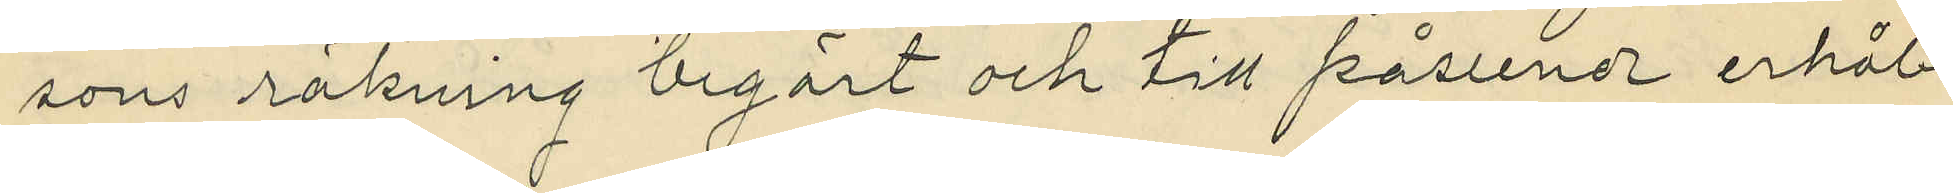sons räkning begärt och till påseende erhål¬
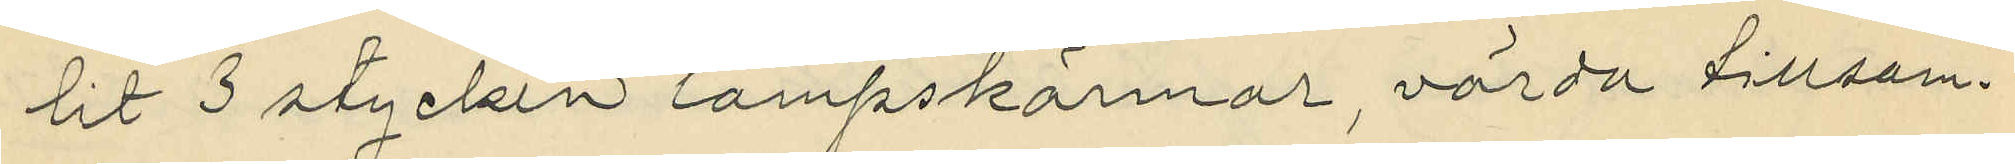lit 3 stycken lampskärmar, värda tillsam¬
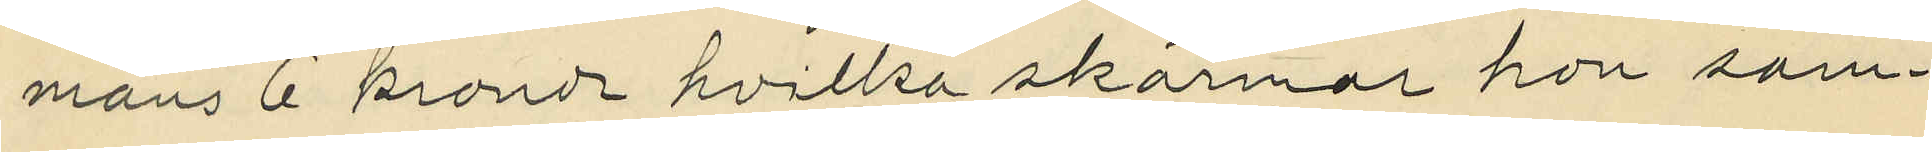mans 6 kronor hvilka skärmar hon sam¬
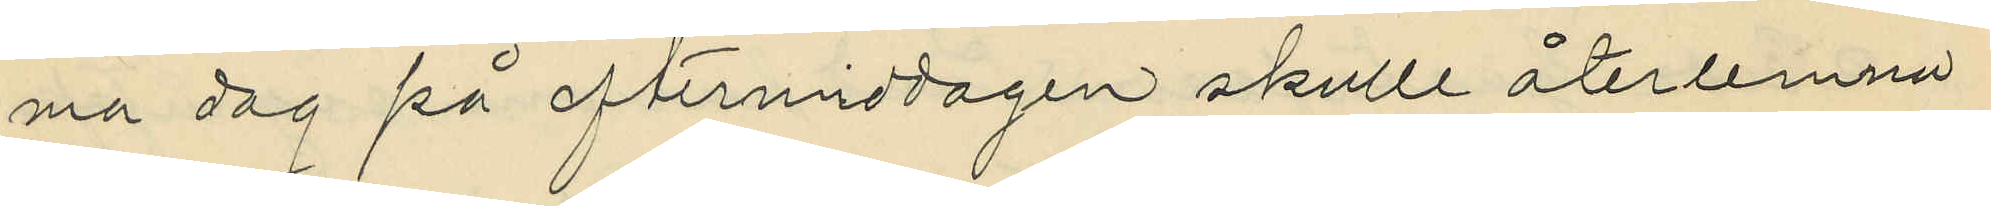ma dag på eftermiddagen skulle återlemna
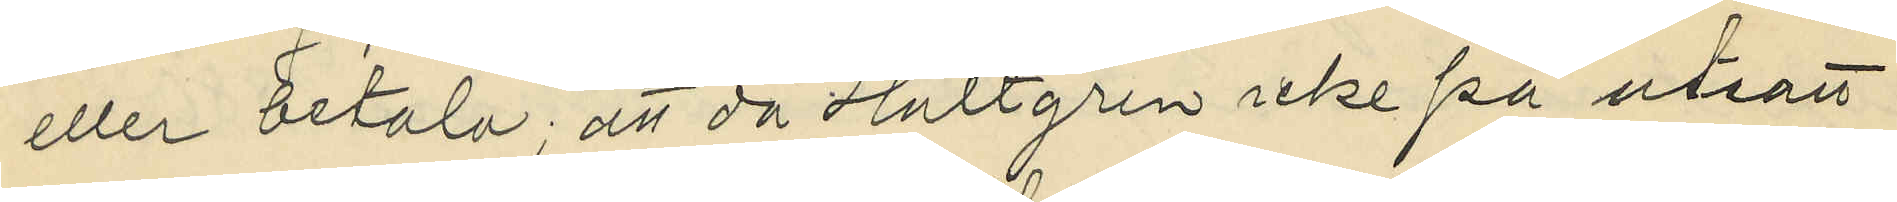eller betala; att då Hultgren icke på utsatt
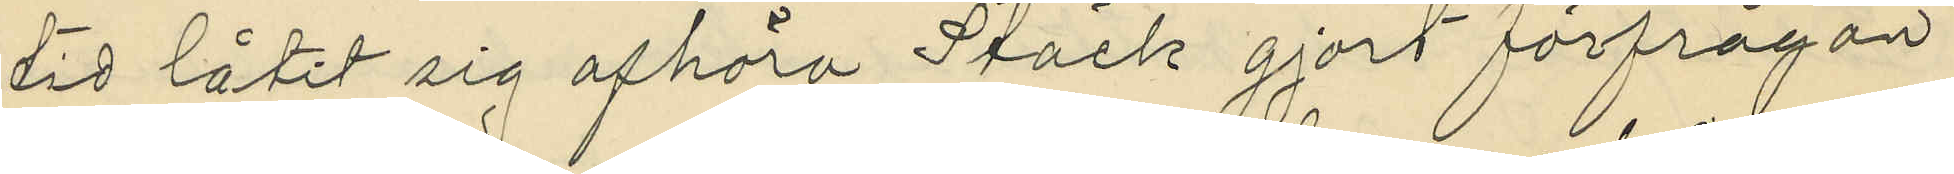tid låtit sig afhöra Stäck gjort förfrågan
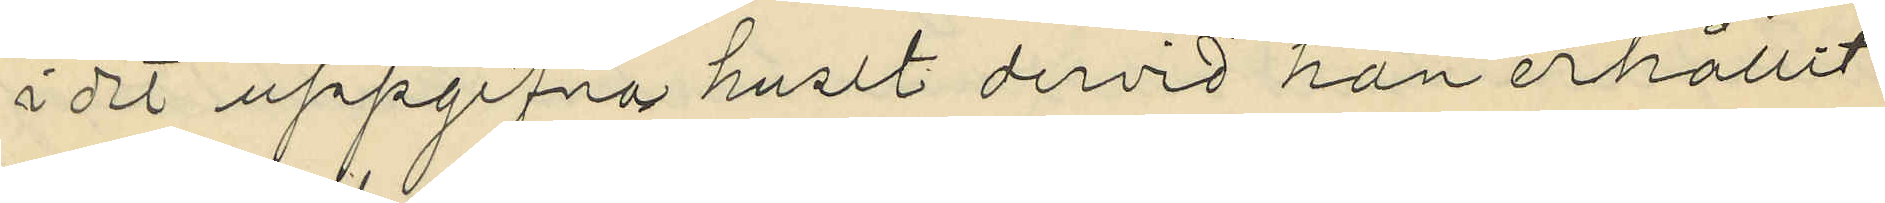i det uppgifna huset dervid han erhållit
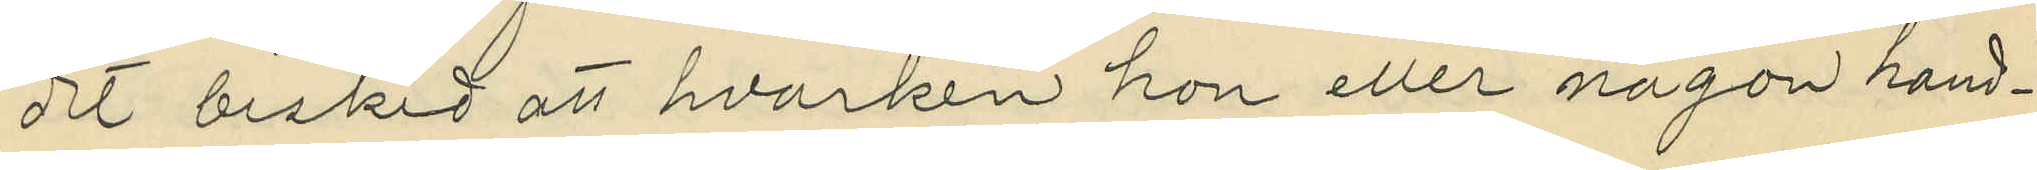det besked att hvarken hon eller någon hand¬
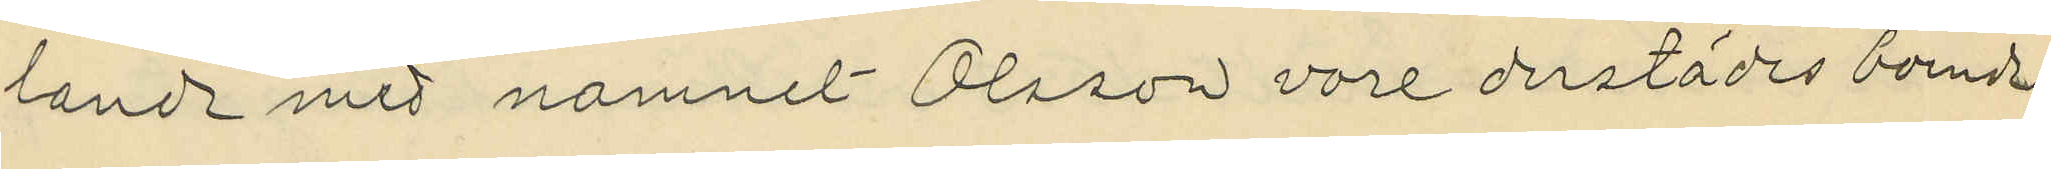lande med namnel Olsson vore derstädes boende.
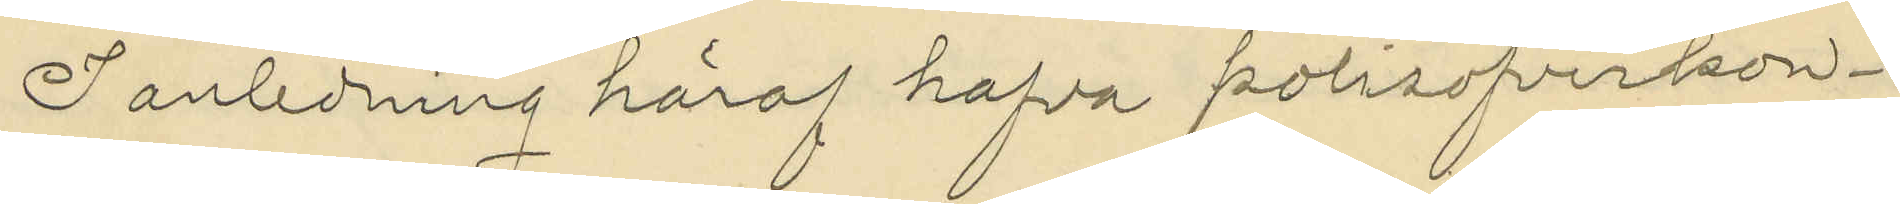I anledning häraf hafva polisofverkon¬
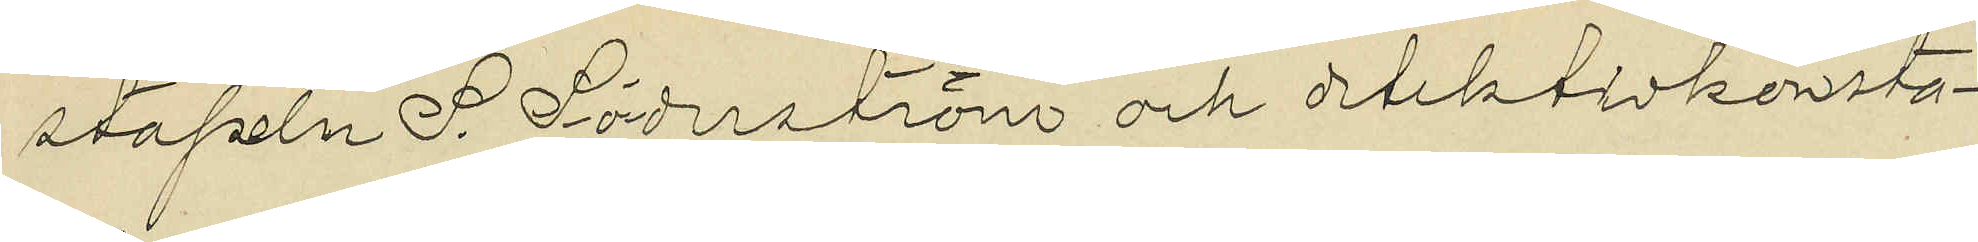stapeln S. Söderström och detektivkonsta¬
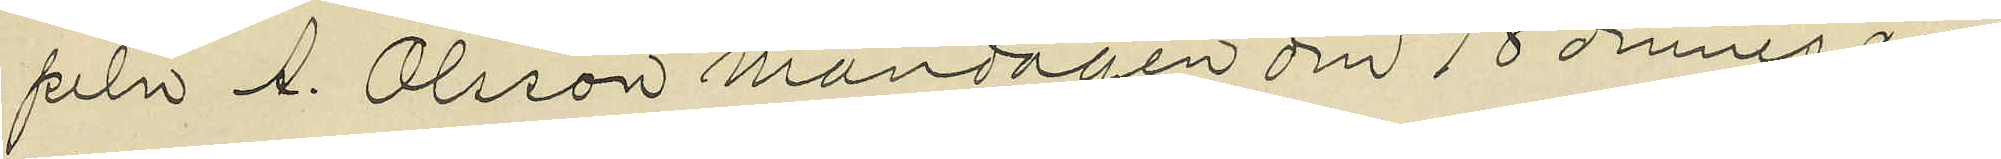peln A. Olsson måndagen den 18 dennes an¬
